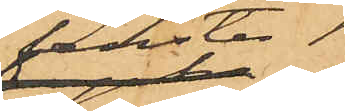fenster,
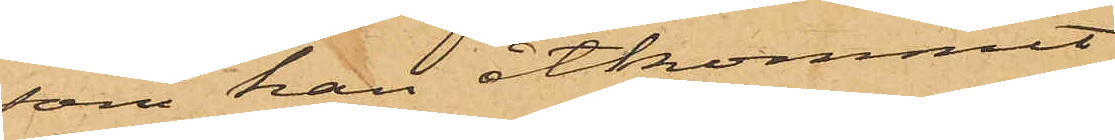som han åtkommit
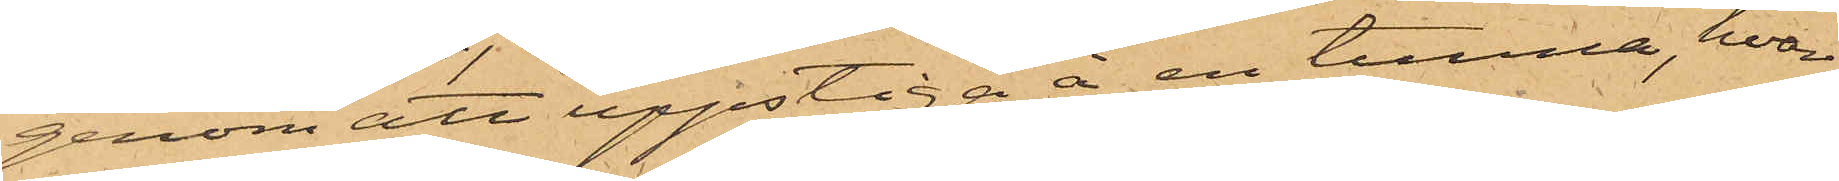genom att uppstiga å en tunna, hvar¬
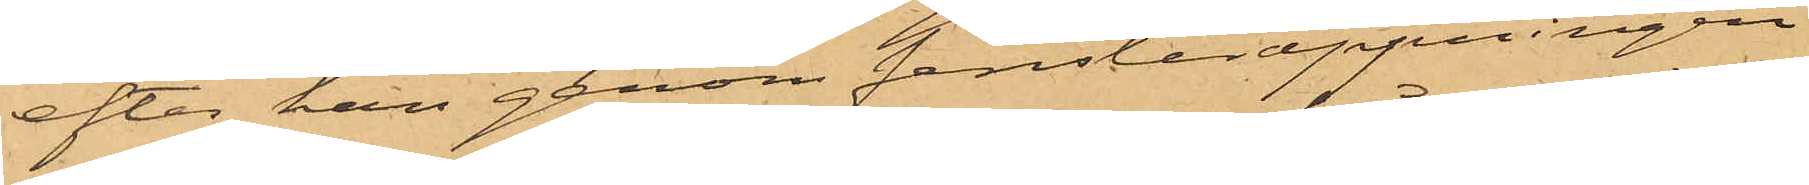efter han genom fensteröppningen
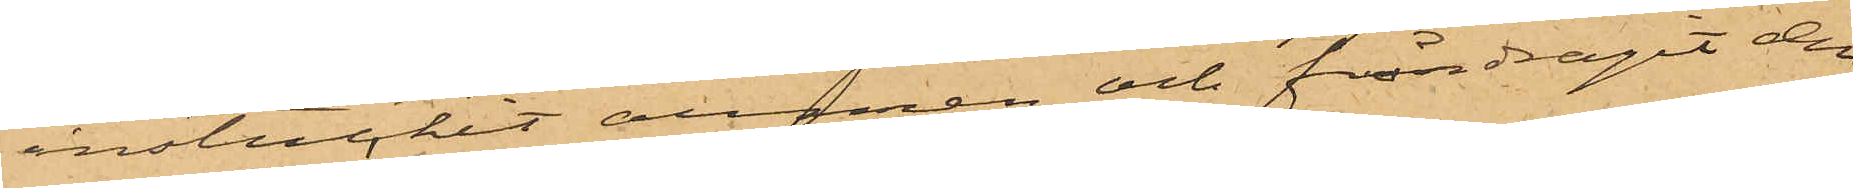instuckit armen och fråndragit den
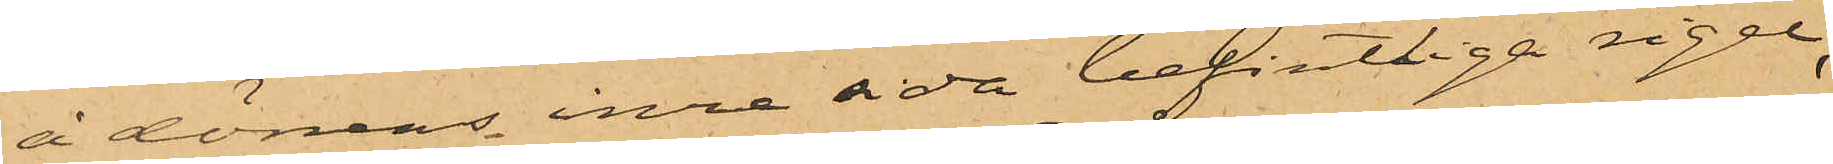å dörrens inre sida befintliga rigel,
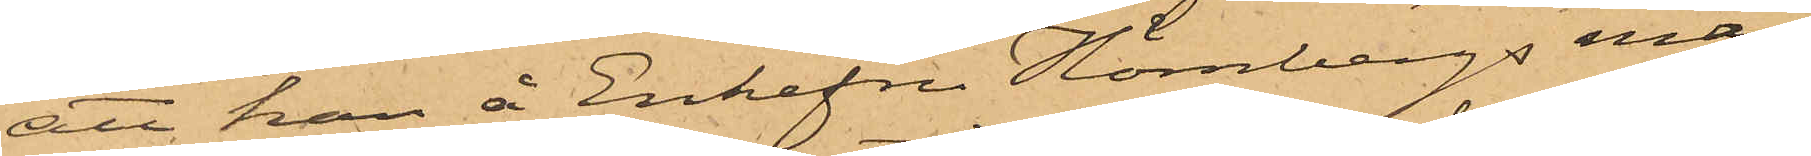att han å Enkefru Hörnbergs man¬
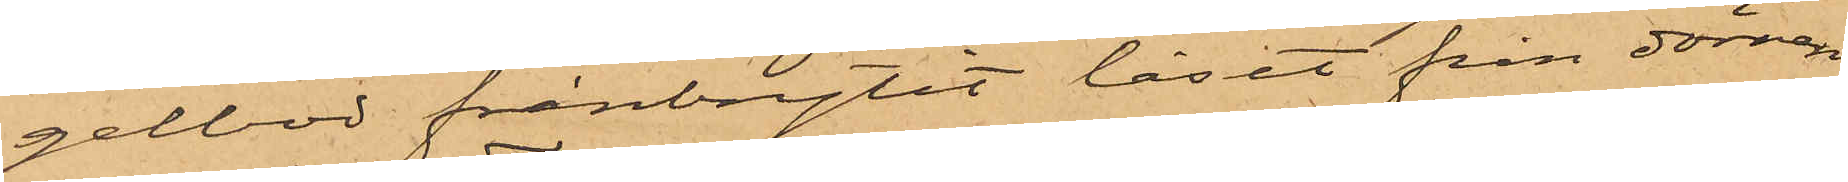gelbod frånbrytit låset från dörren
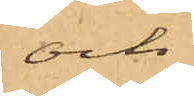och
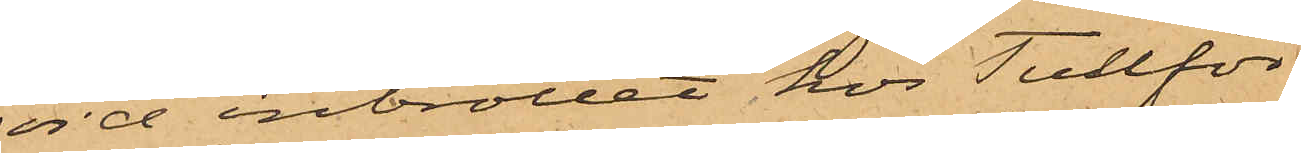vid inbrottet hos Tullför¬
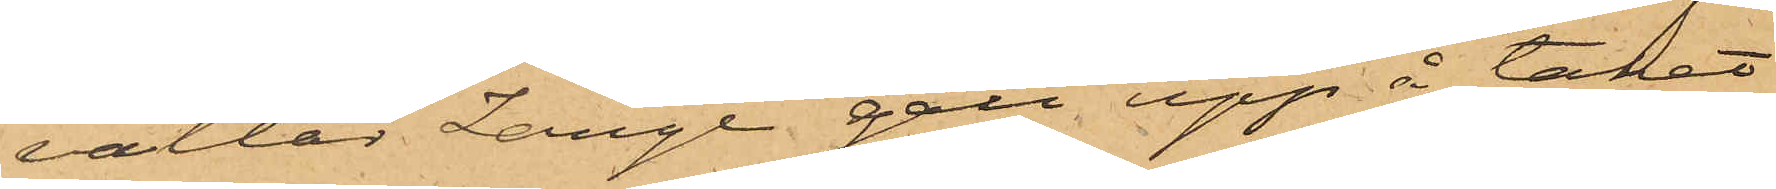valtar Lange gått upp å taket
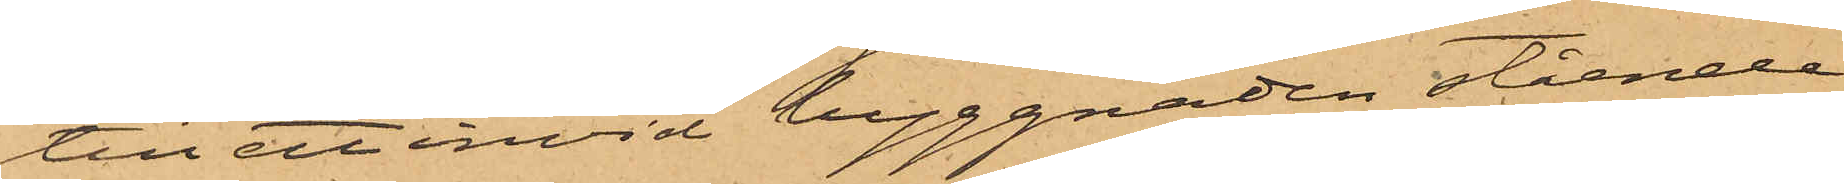till ett invid byggnaden stående
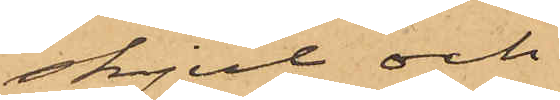skjul och
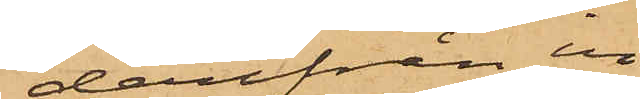derifrån in
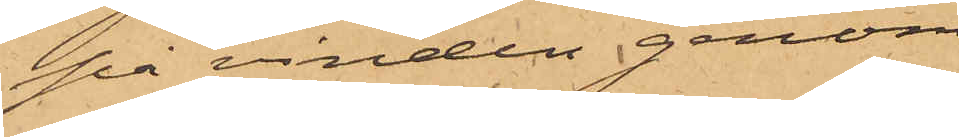på vinden genom
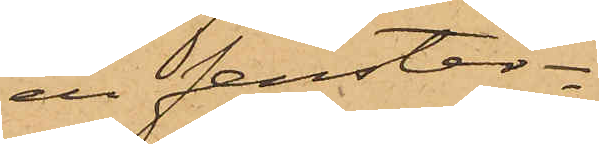en fenster¬
